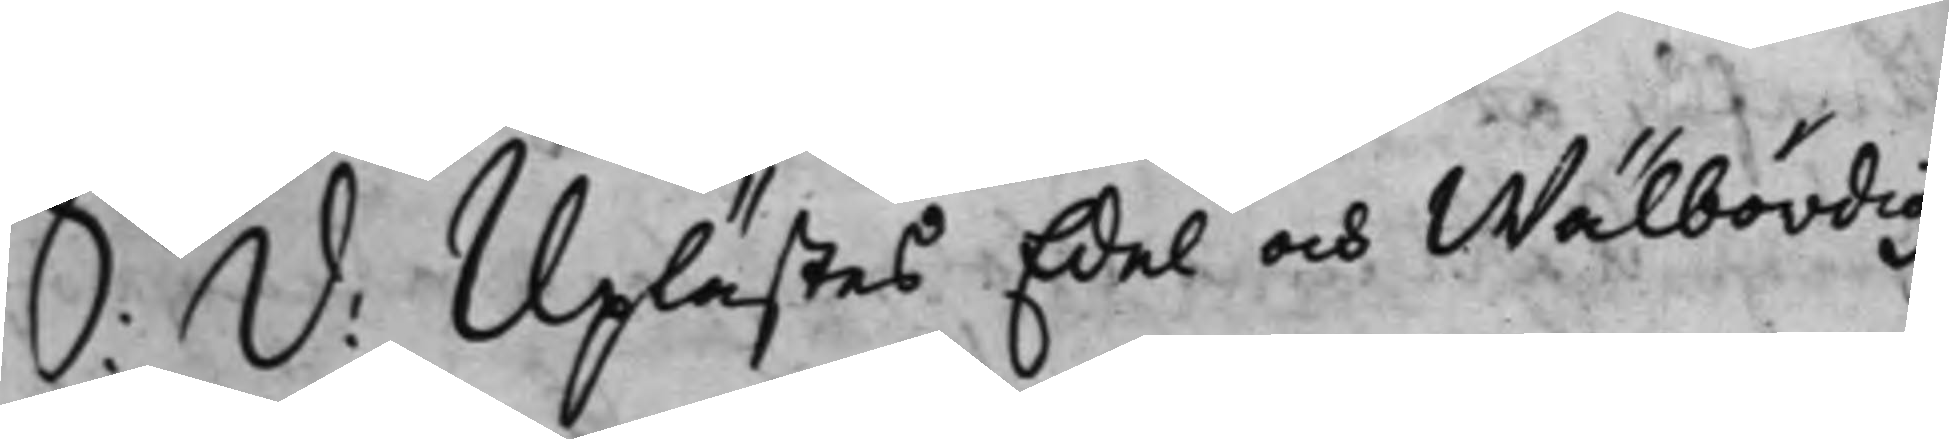S: D: Uplästes Edel och Wälbördig
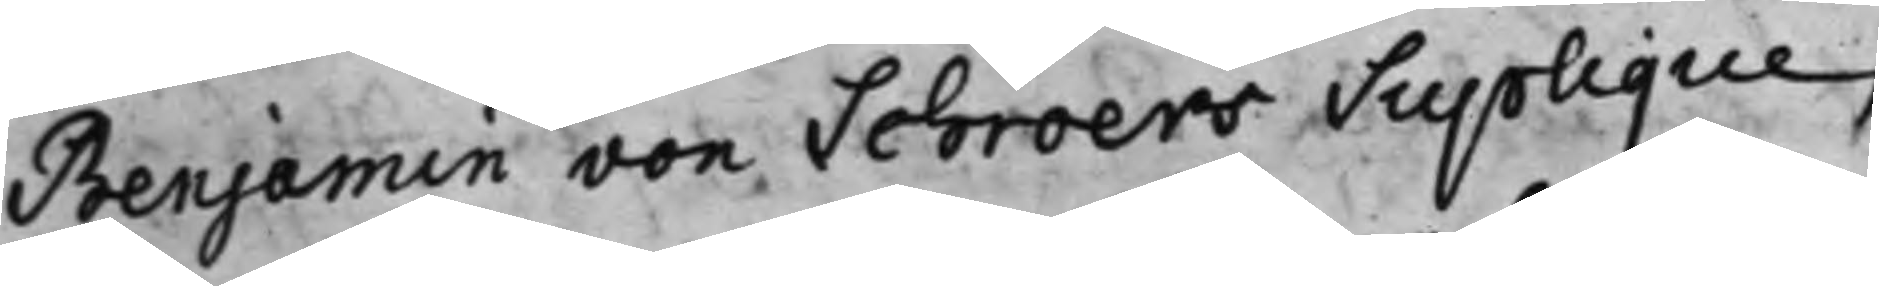Benjamin von Schröers Supplique,
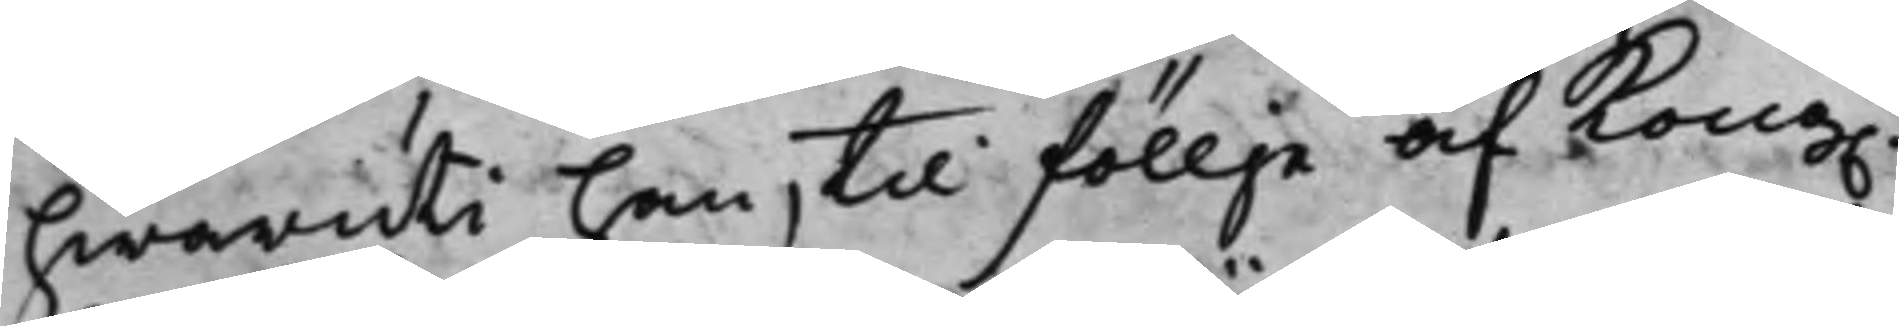hwaruti han til föllje af Kong.
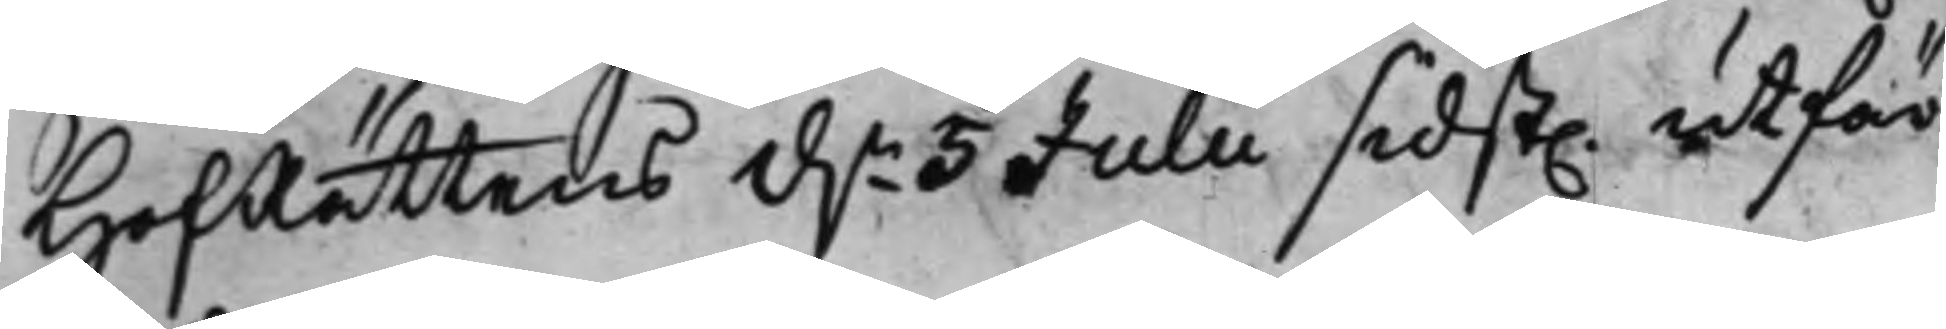HofRättens d.n 5 Julii sidst. utfär¬
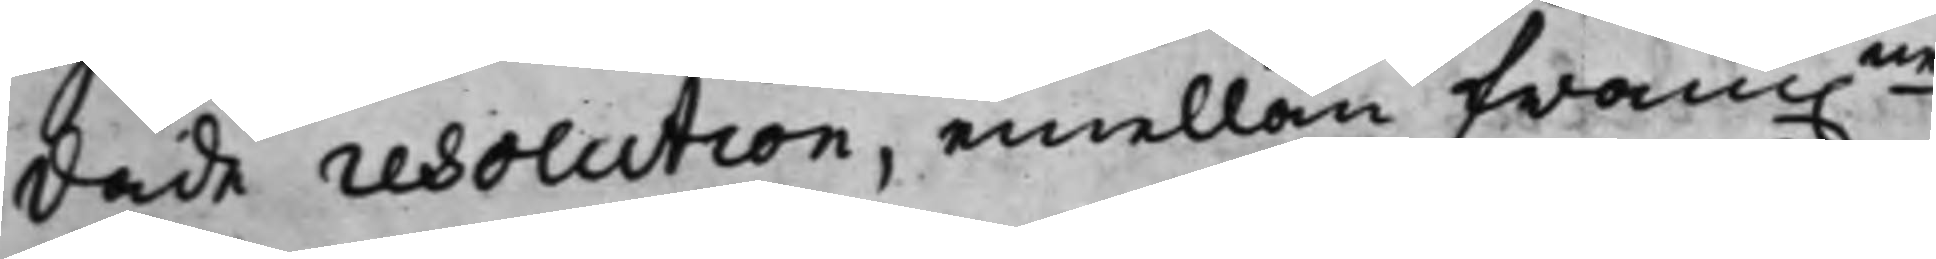dade resolution, emellan fram.ne
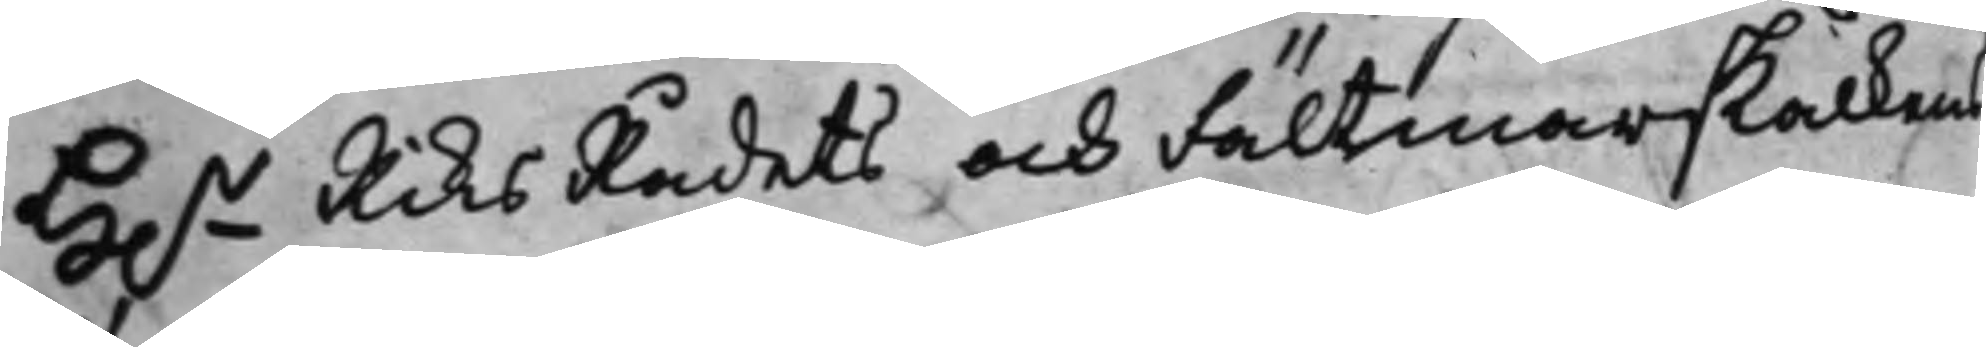H.r RiksRådets och Fältmarskalkens
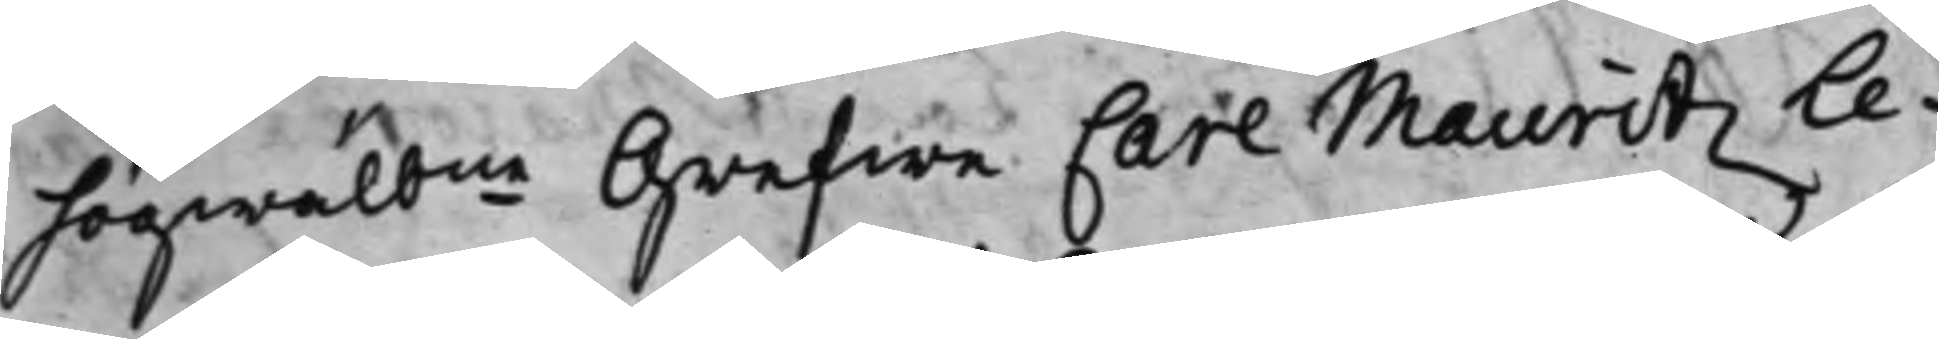högwälbne Grefwe Carl Mauritz Le¬
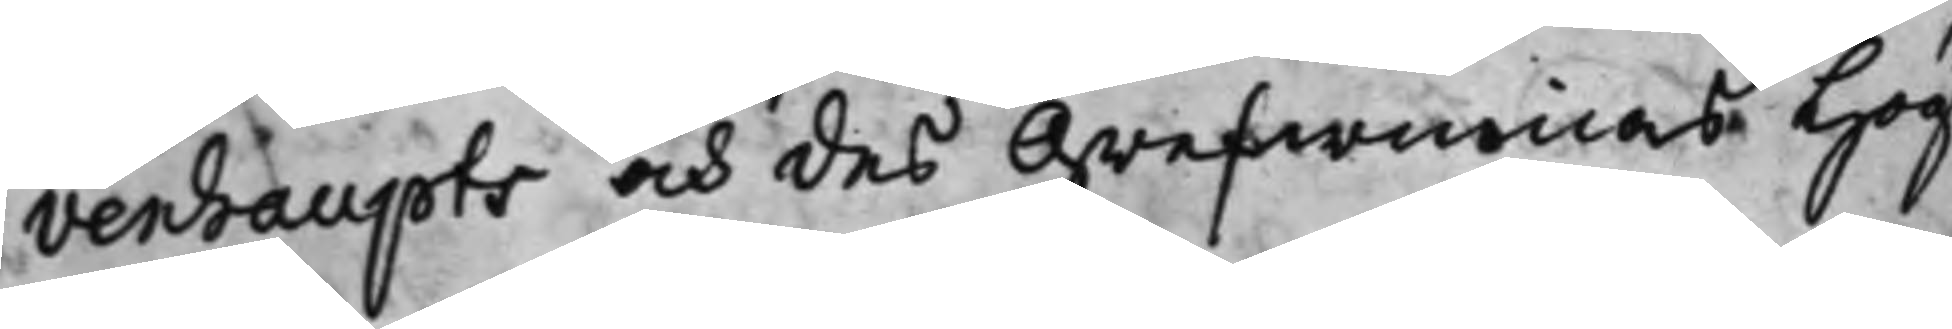venhaupts och des Grefwinnas Hög¬
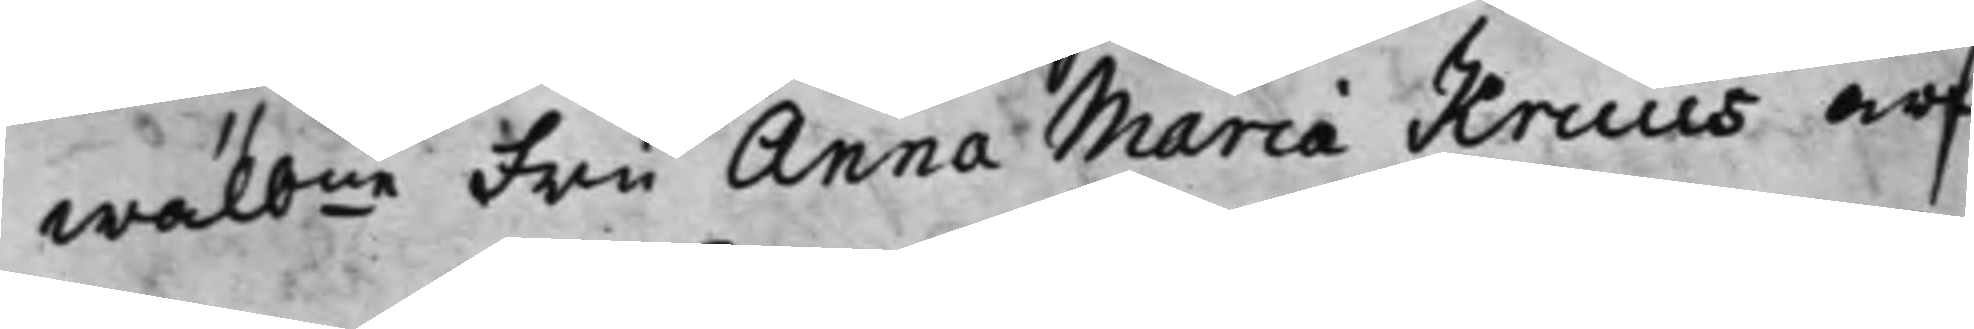wälbne Fru Anna Maria Kruus arf¬
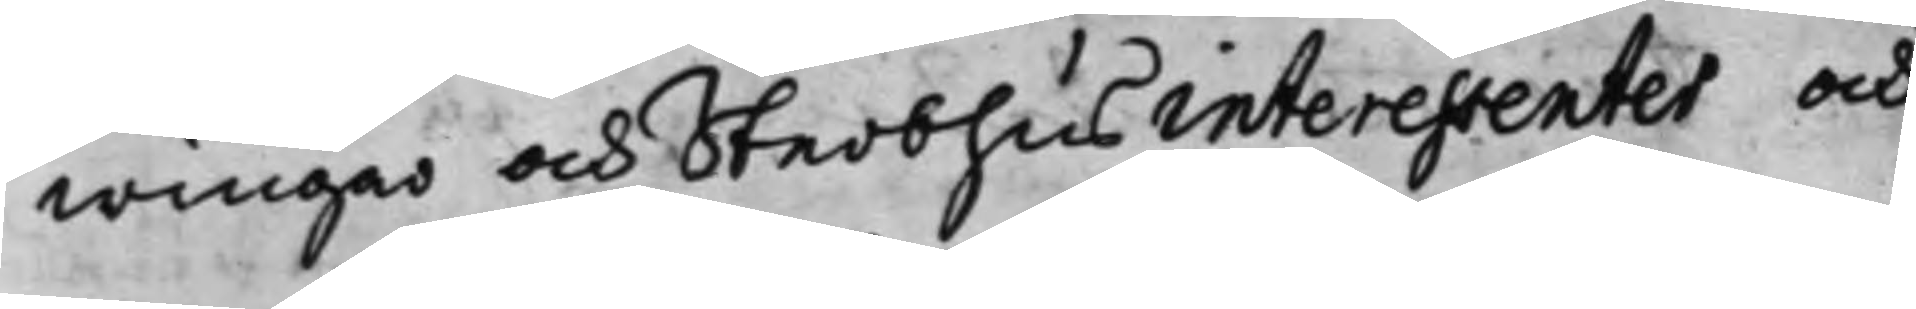wingar och Sterbhus interessenter och
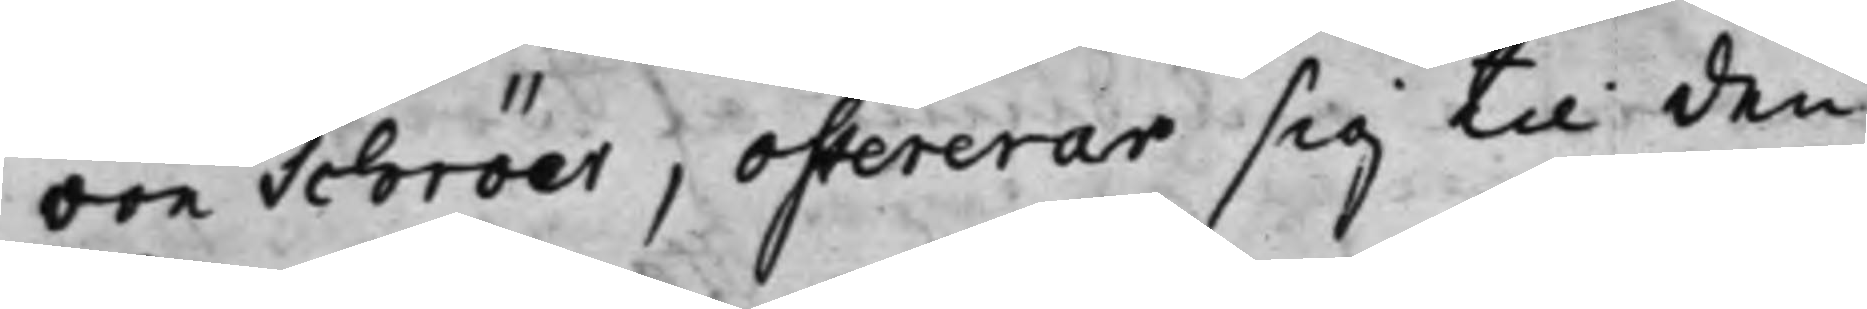von Schröer, offererar sig til den
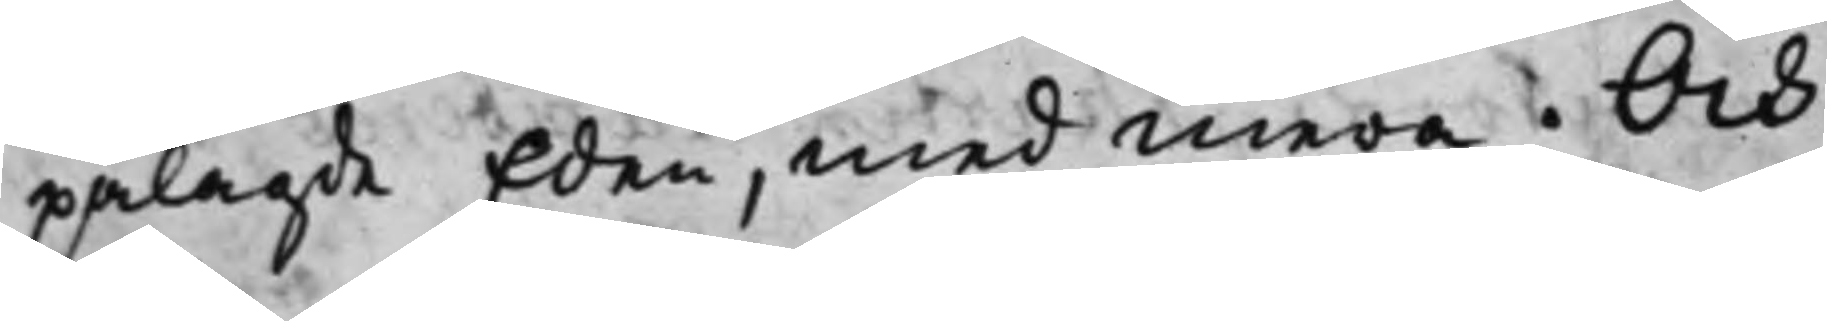pålagde Eden, med mera. Och
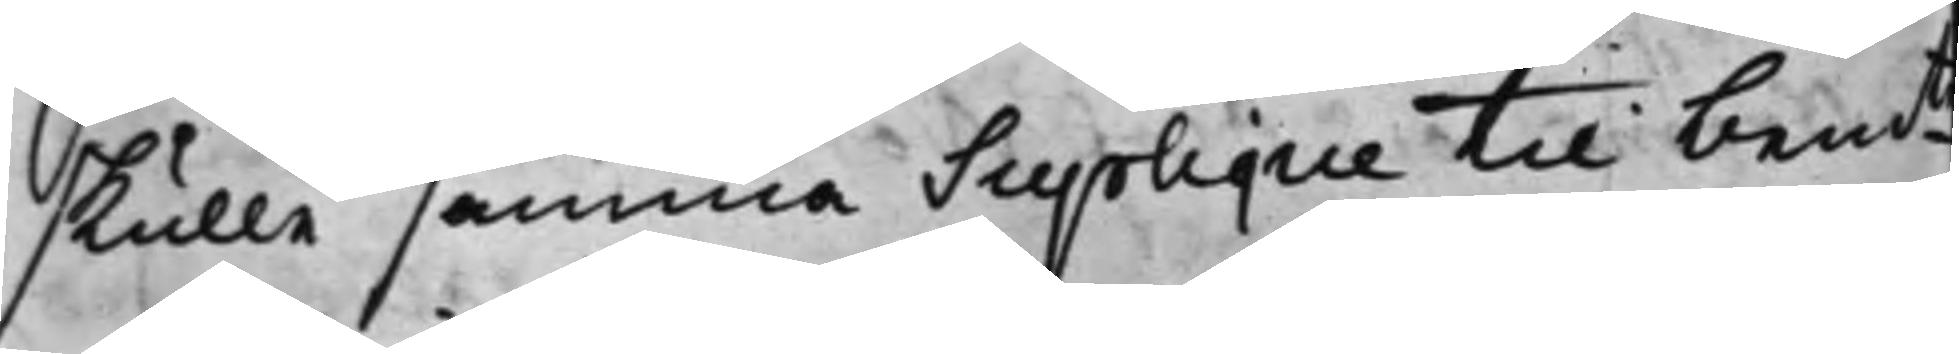skulle samma Supplique til bemte
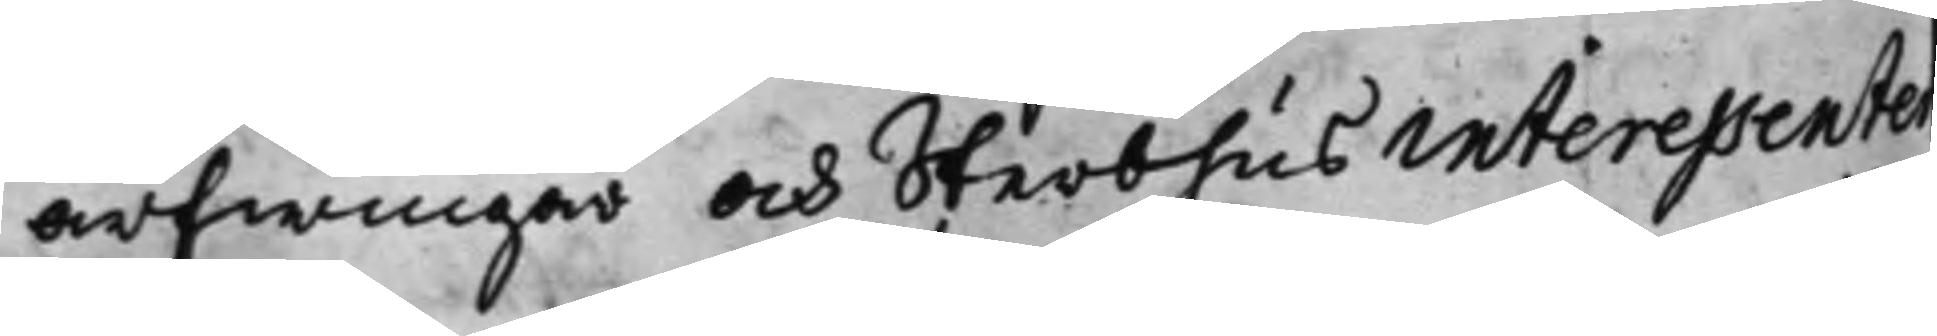arfwingar och Sterbhus interessenter
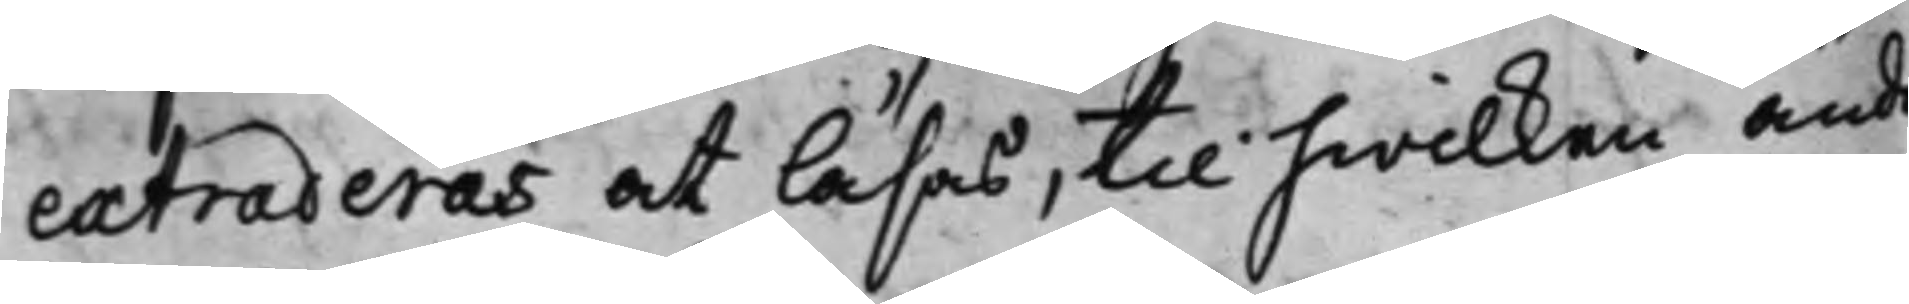extraderas at läsas, til hwilken änd
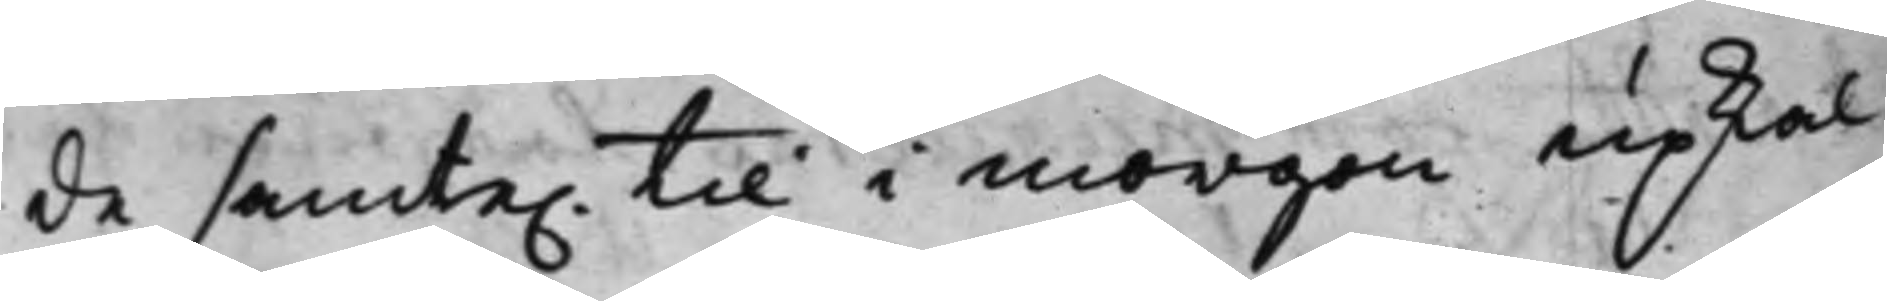de samte. til i morgon upkal¬
